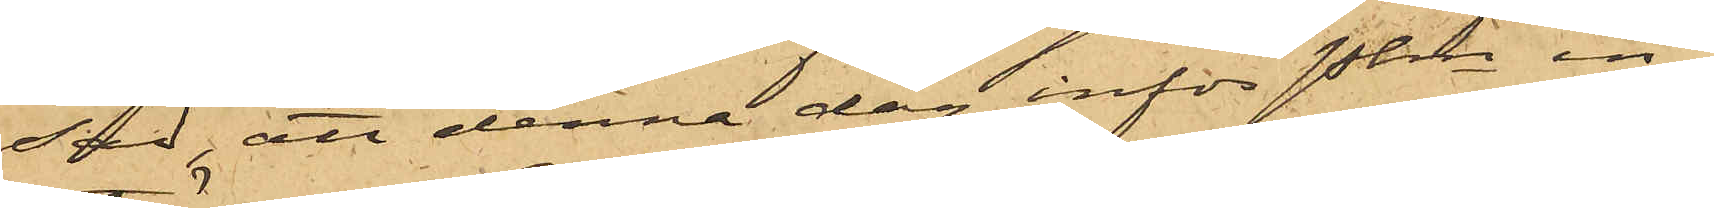sad, att denna dag inför Pkm in¬
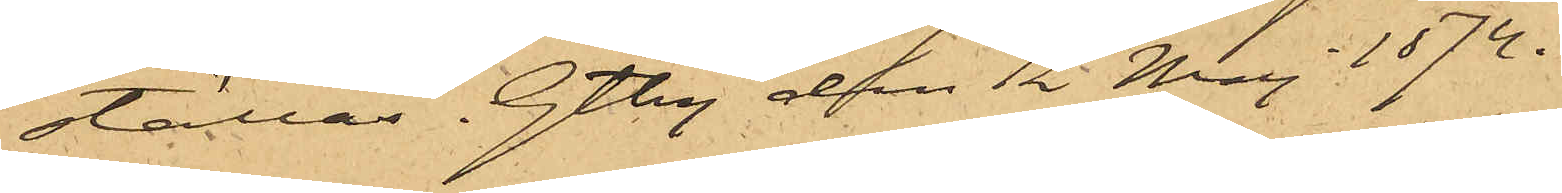ställas. Gtbg den 12 Maj 1874.
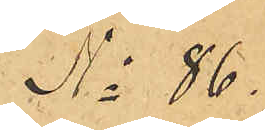No 86.
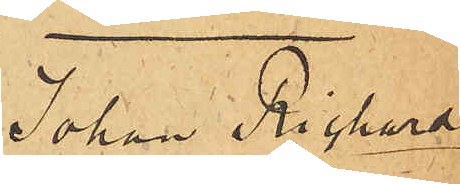Johan Richard
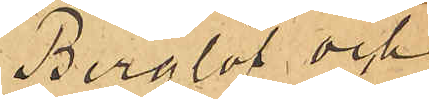Berglöf och
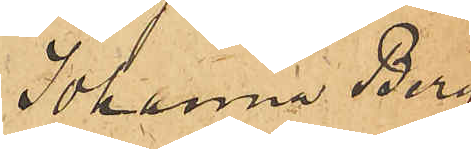Johanna Berg¬
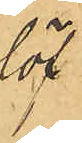löf
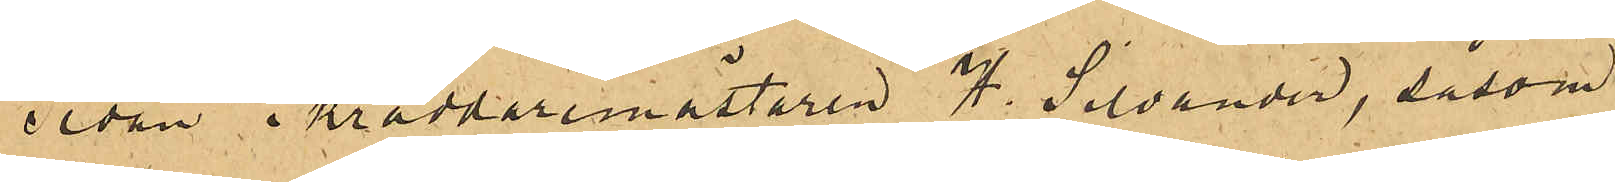Sedan Skräddaremästaren H. Silvander, såsom
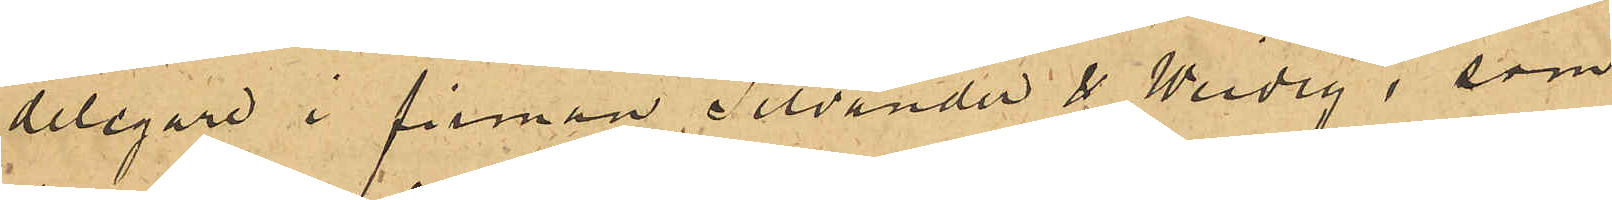delegare i firman Silvander & Weidig, som
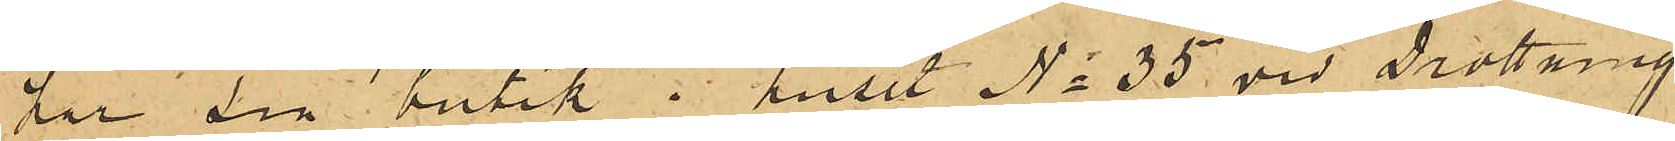har sin butik i huset No 35 vid Drottning¬
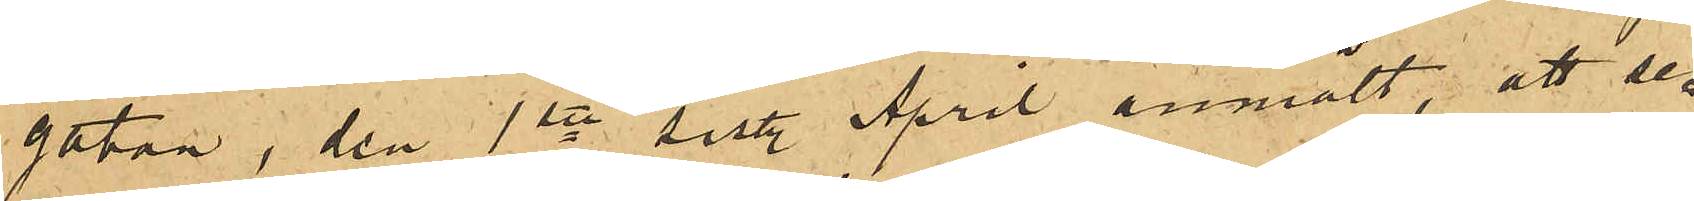gatan, den 1ste sist. April anmält, att se¬
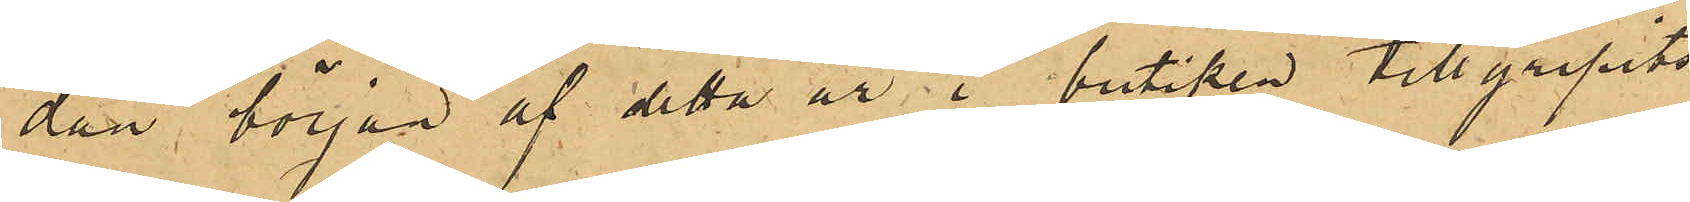dan början af detta år i butiken tillgripits
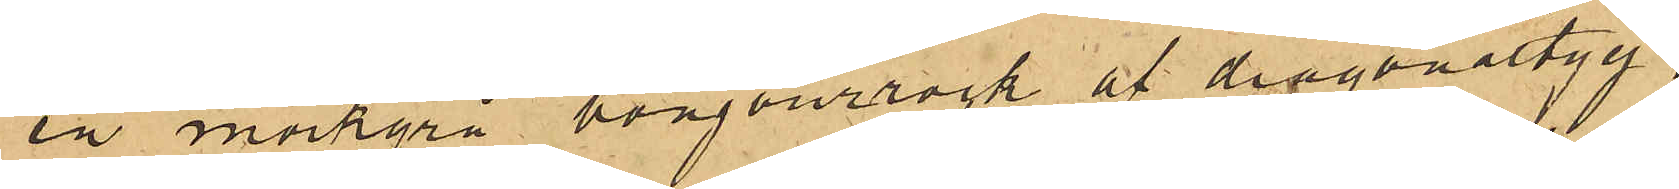en mörkgrå bonjourrock af diagonaltyg,
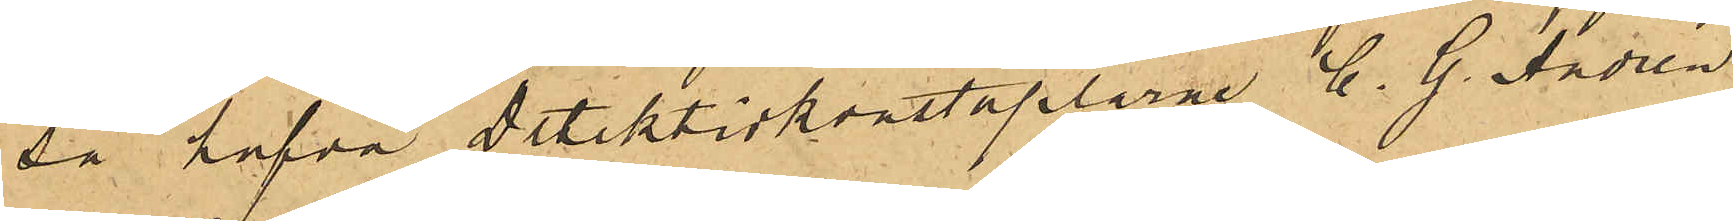sa hafva Detektivkonstaplarne C. G. Andrén
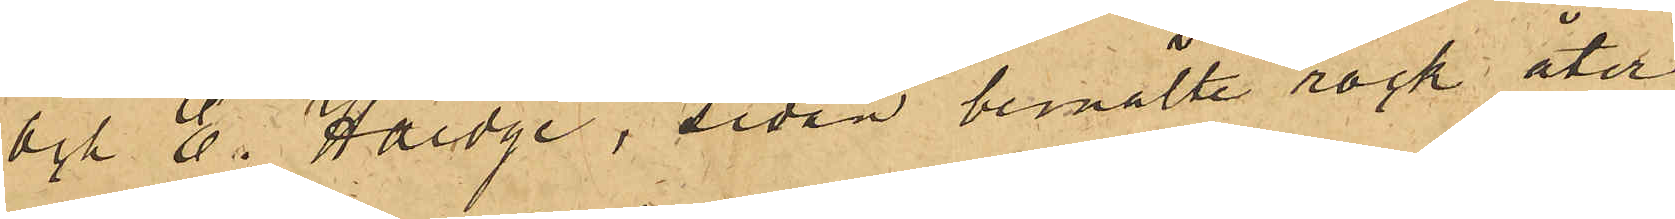och E. Haedge, sedan bemälte rock åter¬
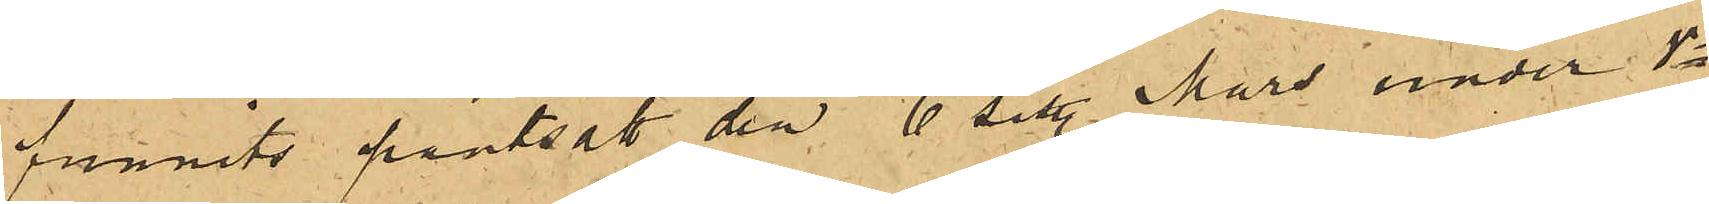funnits pantsatt den 6 sist. Mars under No
